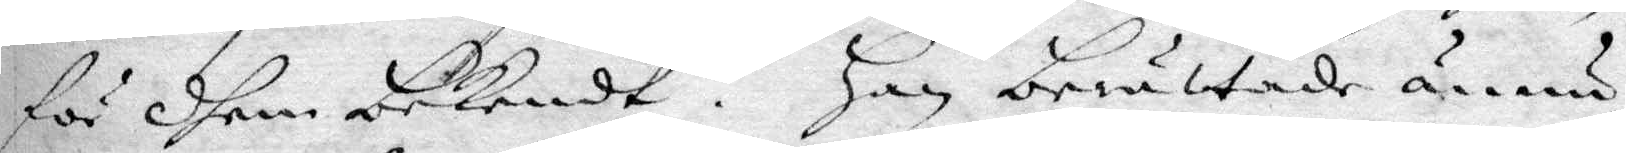för dhem bekendt. Han berättade ännu
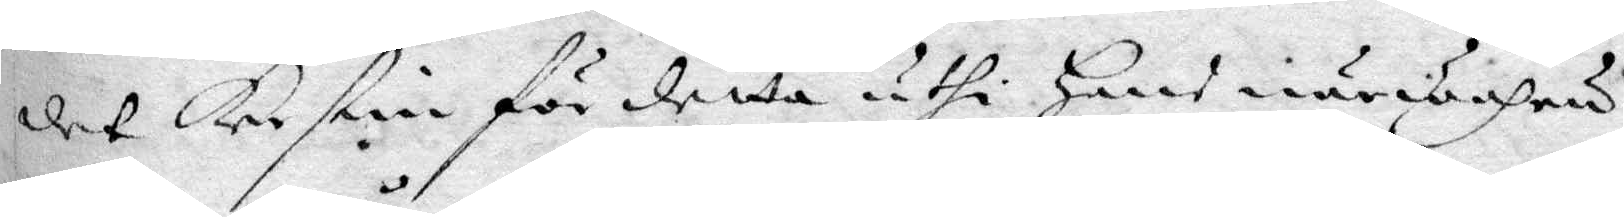det Kerstin för detta uthi hans närwahru
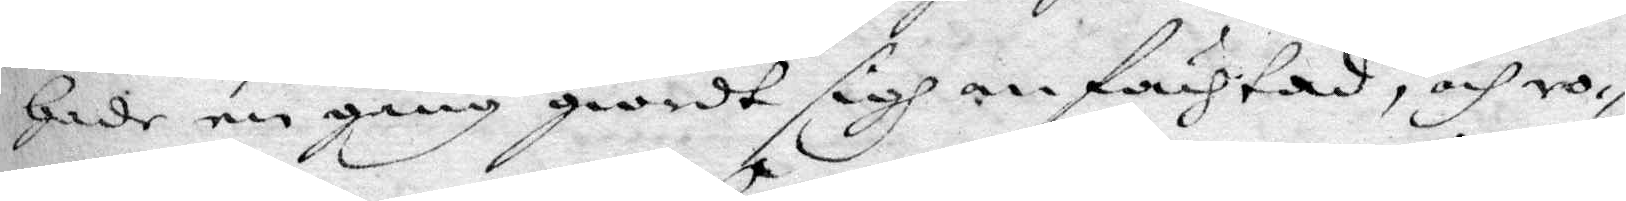hade en gång giordt sigh anfächtad, och ro¬
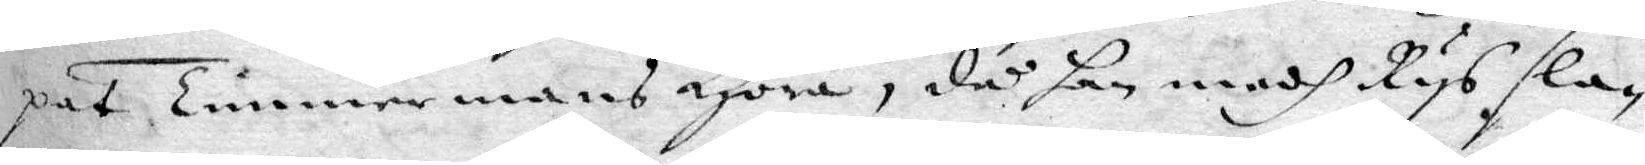pat Timmermans Höra, då han medh Rys sla¬
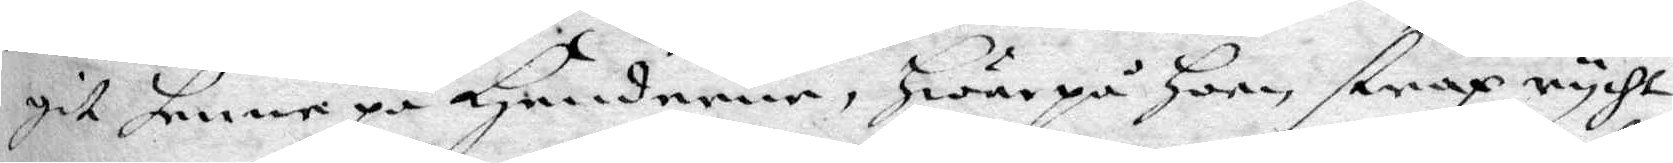git henne på Händerne, hwarpå hon strax rycht
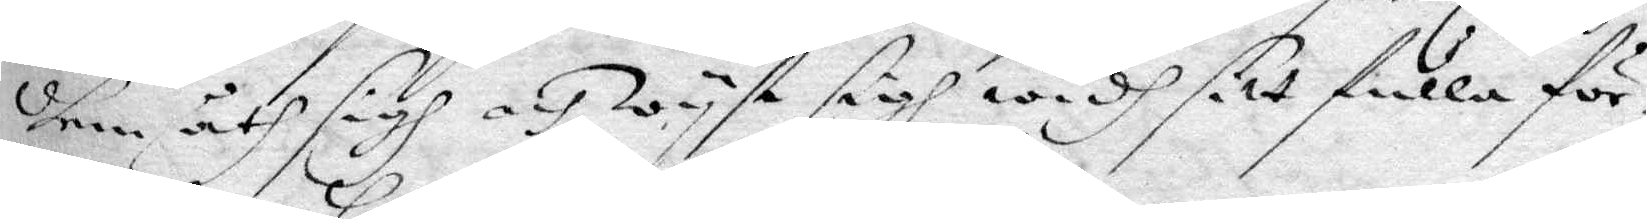dhem åth sigh och wyst sigh widh sitt fulla för¬
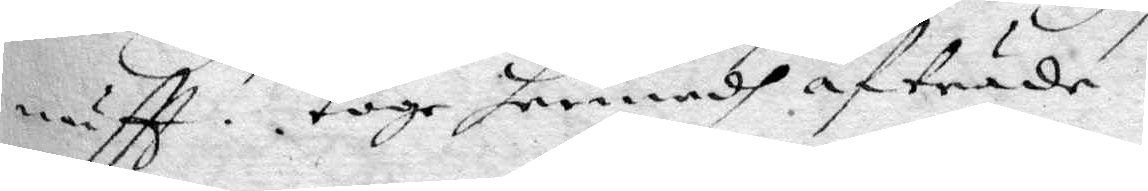nuftt, toge hermedh afträde.
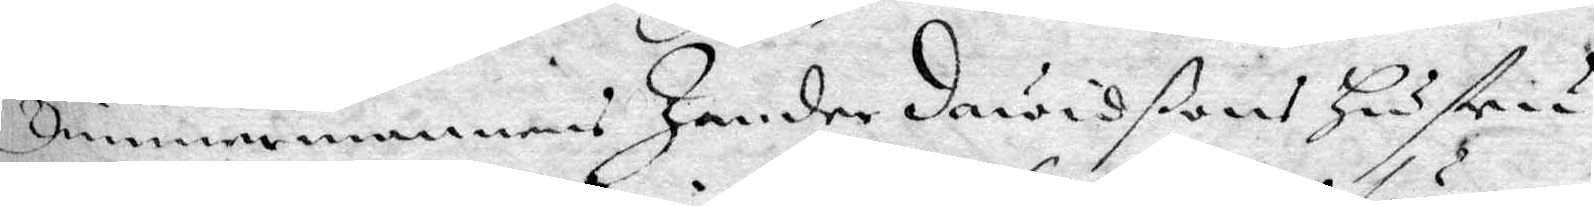Timmermannens Zander Davidßons hustru
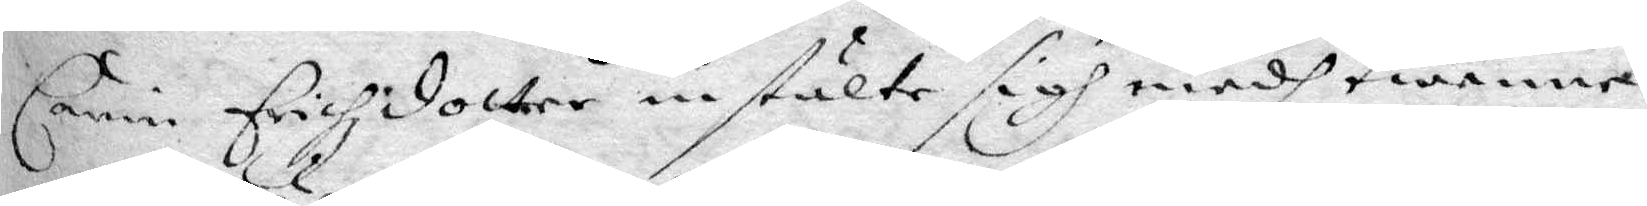Carin Erichzdotter instälte sigh medh twenne
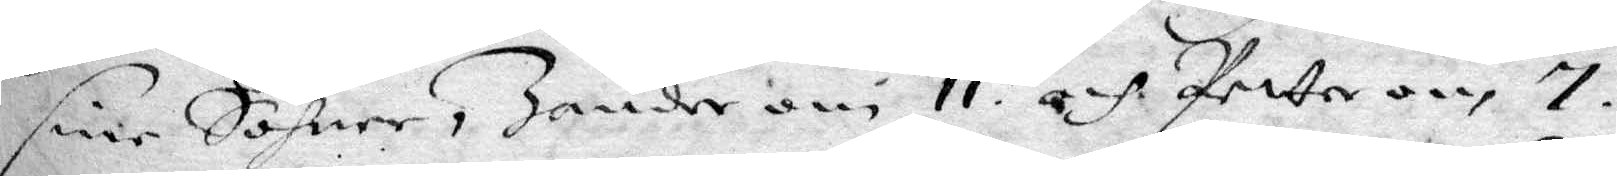sine Söhner, Zander om 11 och Petter om 7.
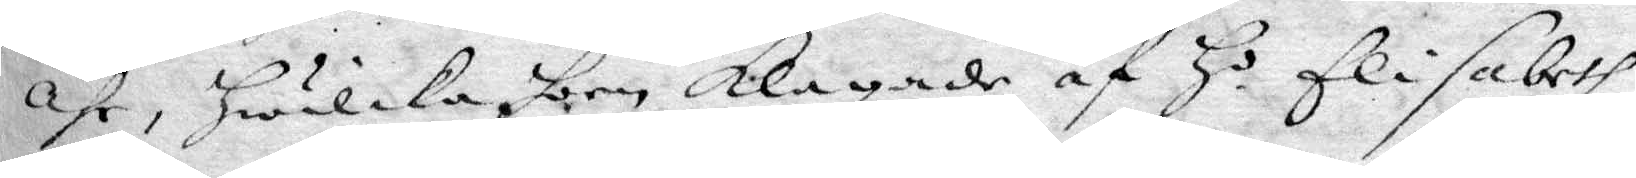åhr, hwilka hon klagade af Ho Elisabeth 
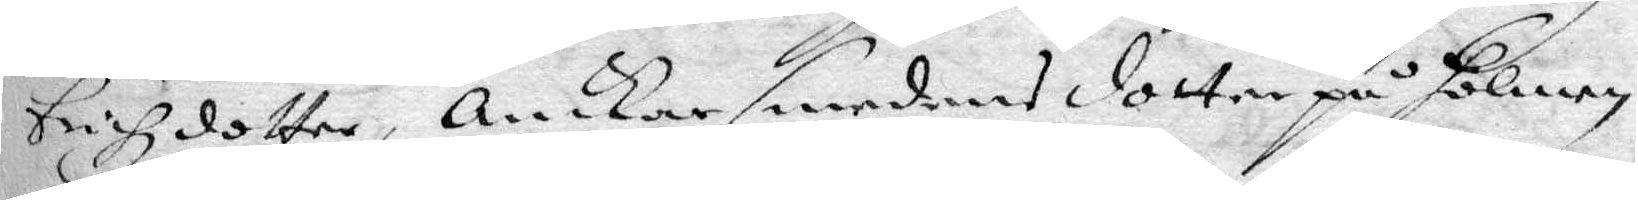Erichzdotter, Ankarsmedens dotter på holmen,
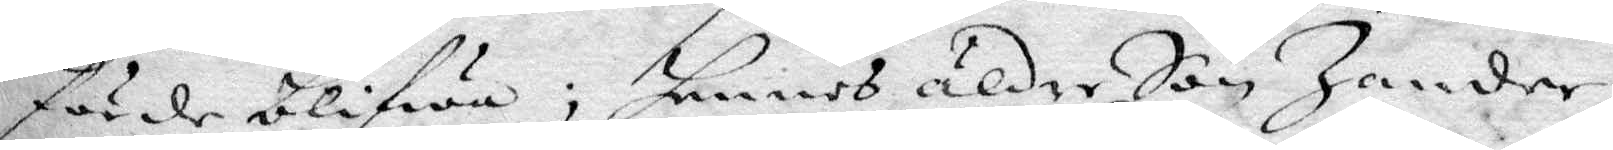förde blifwa; hennes äldre Son Zander
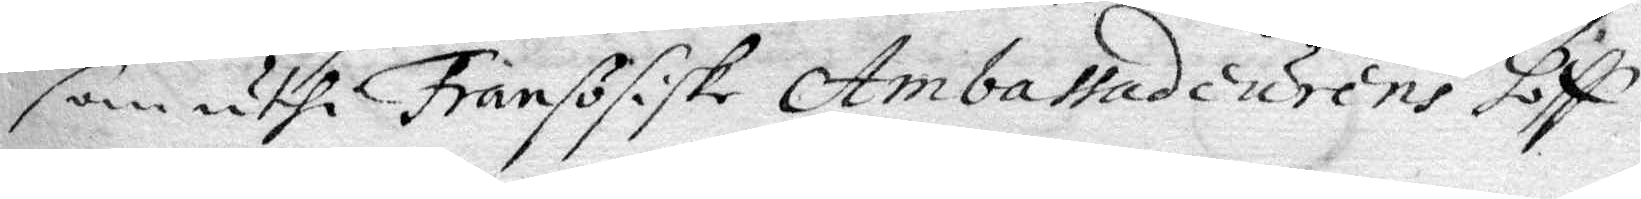som uthi Fransösiske Ambassadeurens hoff
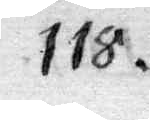118.
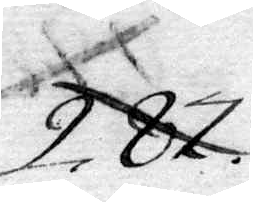287.
